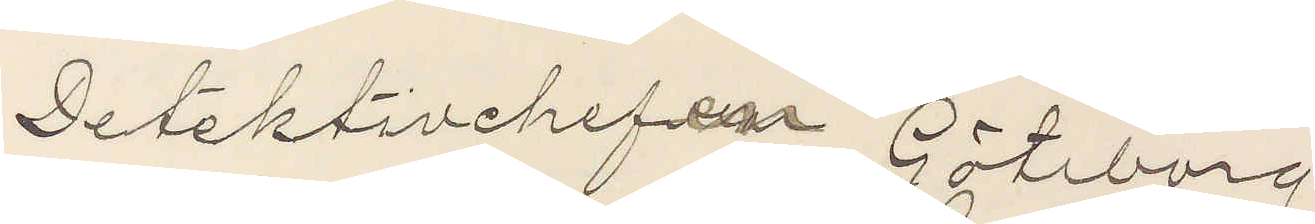Detektivchefen Göteborg
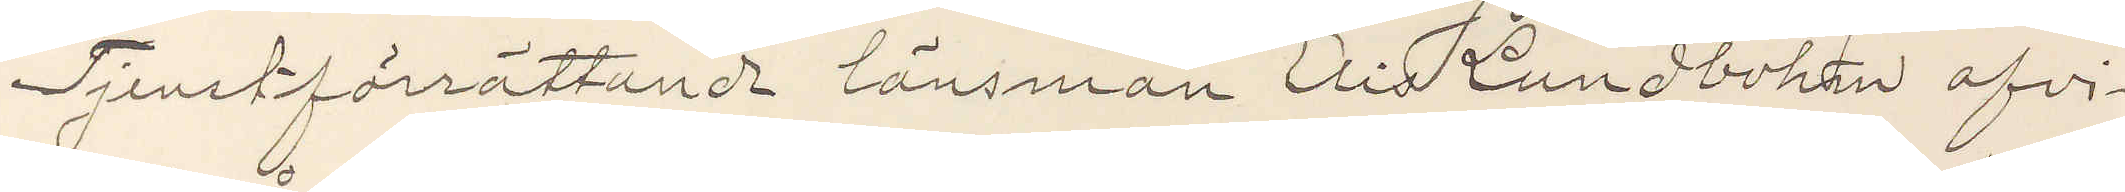Tjensteförättande länsman Elis Lundbohm afvi¬
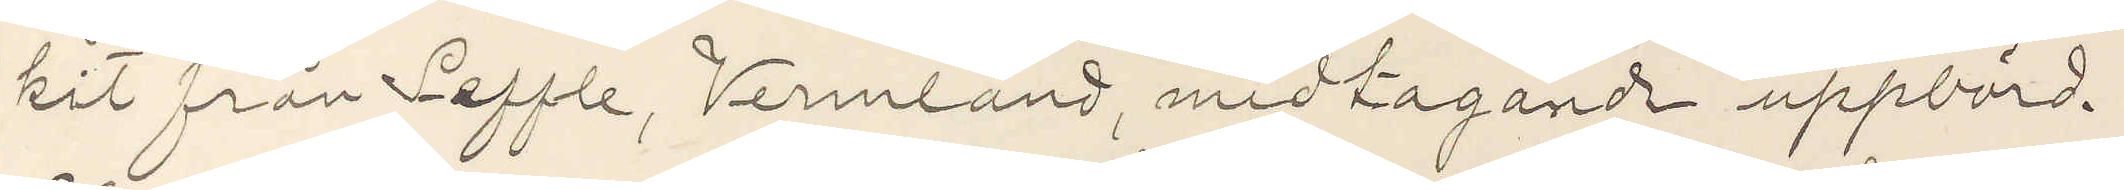kit från Seffle, Vermland, medtagande uppbörd.
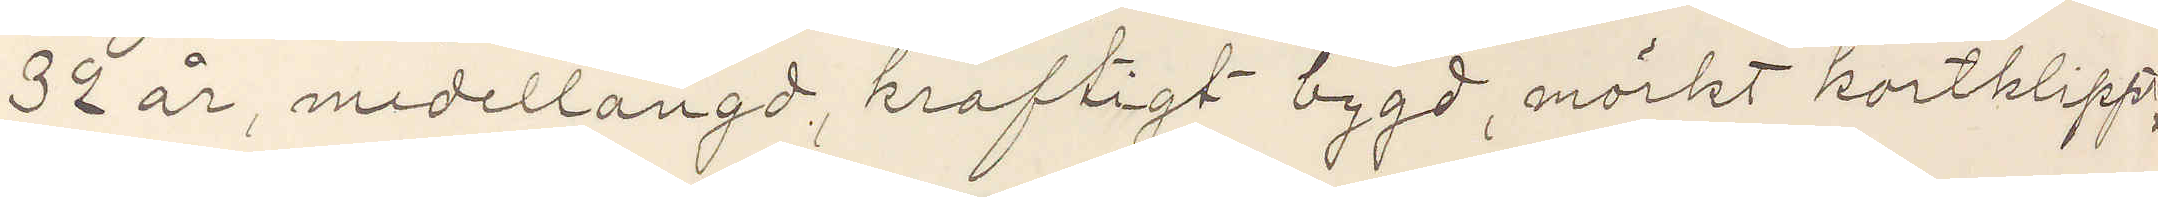32 år, medellangd, kraftigt bygd, mörkt kortklippt
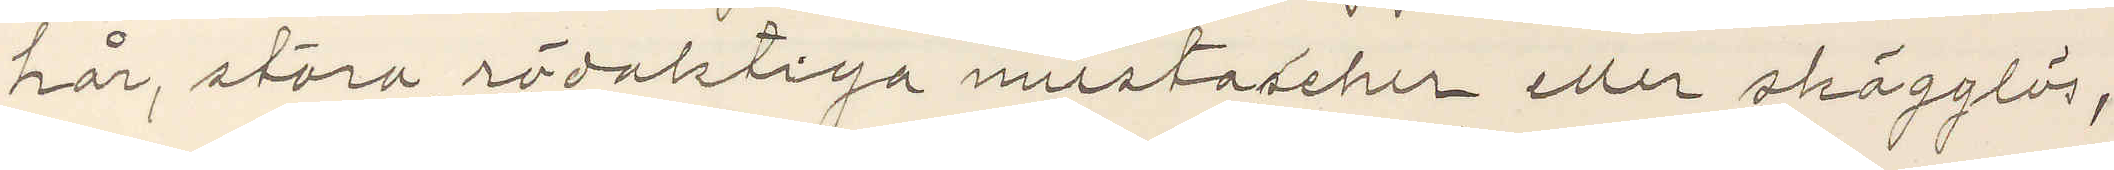hår, stora rödaktiga mustascher eller skägglös,
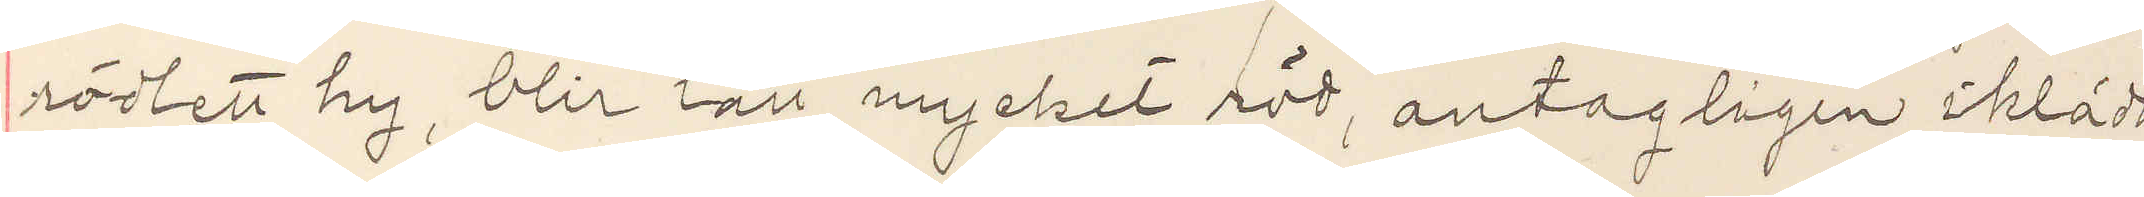rödlett hy, blir lätt mycket röd, antagligen iklädd
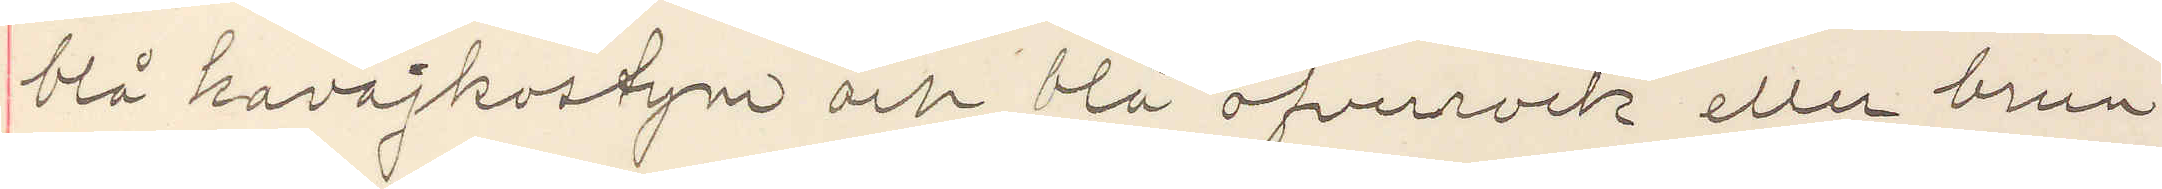blå kavajkostym och blå öfverrock eller brun
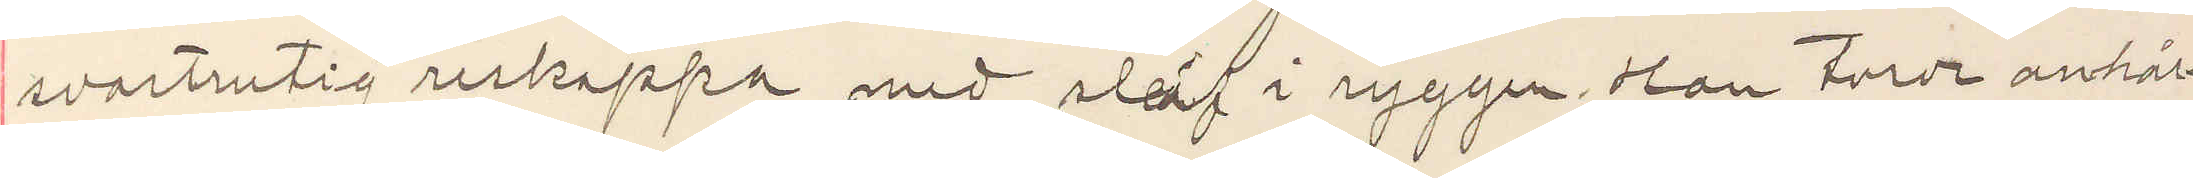svartrutig reskappa med sleif i ryggen. Han torde anhål¬
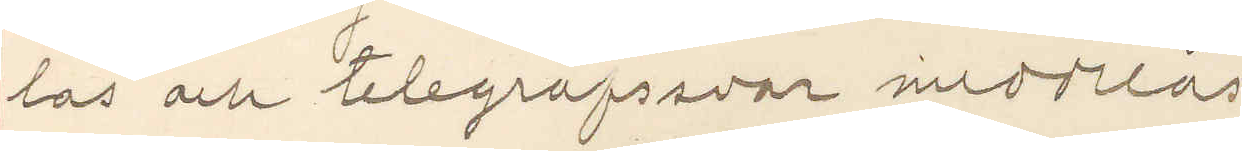las och telegrafsvar meddelas
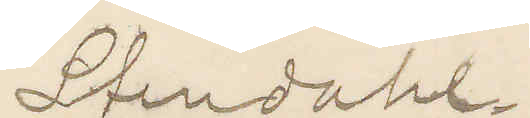Stendahl
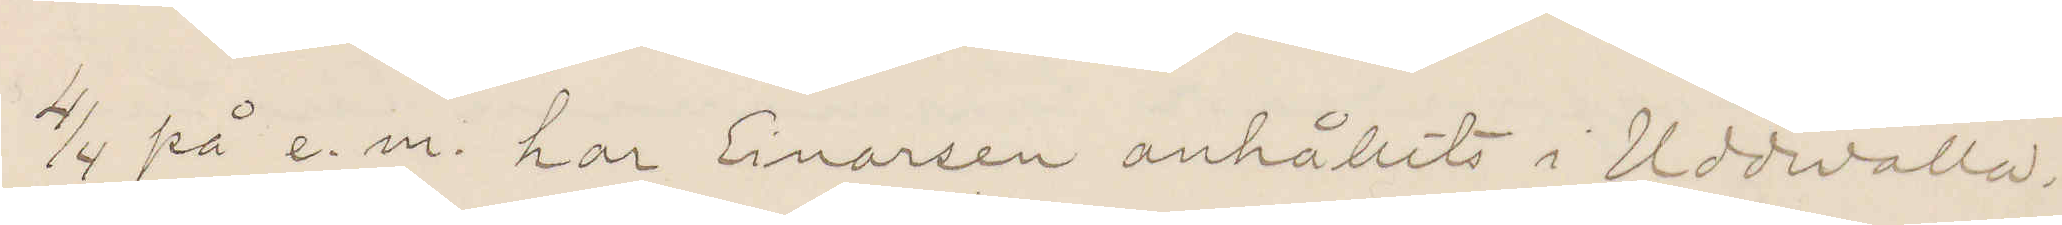4/4 på e. m. har Einarsen anhållits i Uddevalla
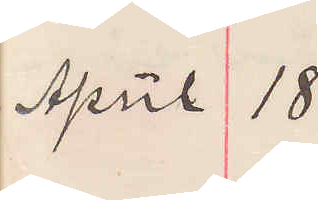April 18
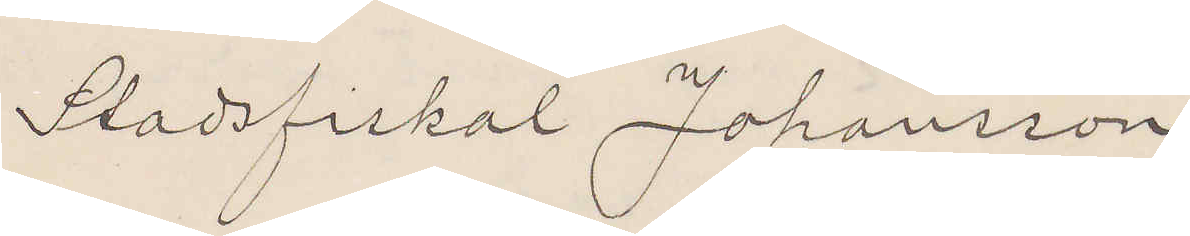Stadsfiskal Johansson
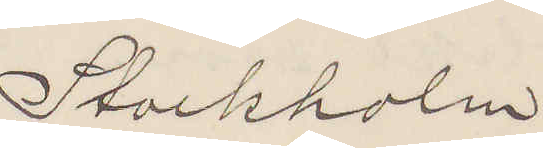Stockholm
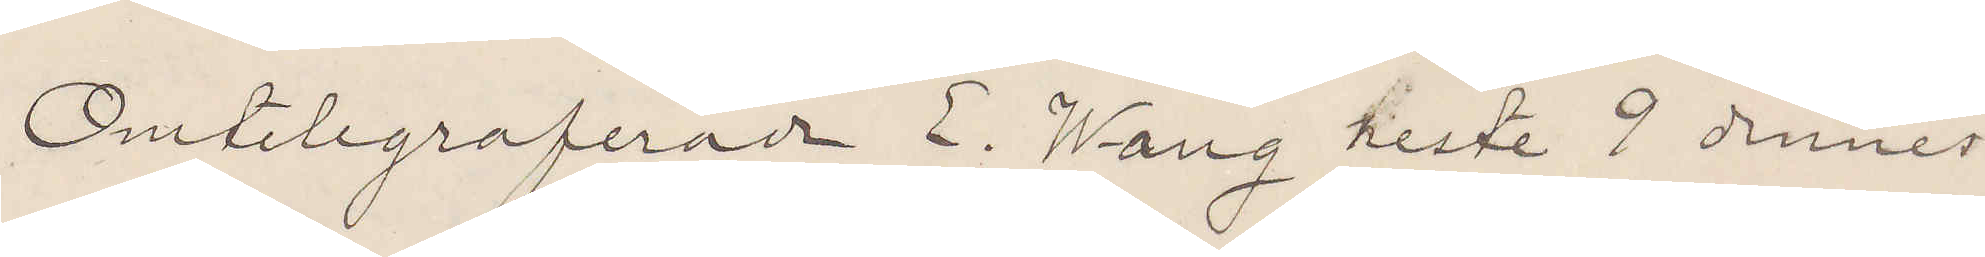Omtelegraferade E. Wang reste 9 dennes
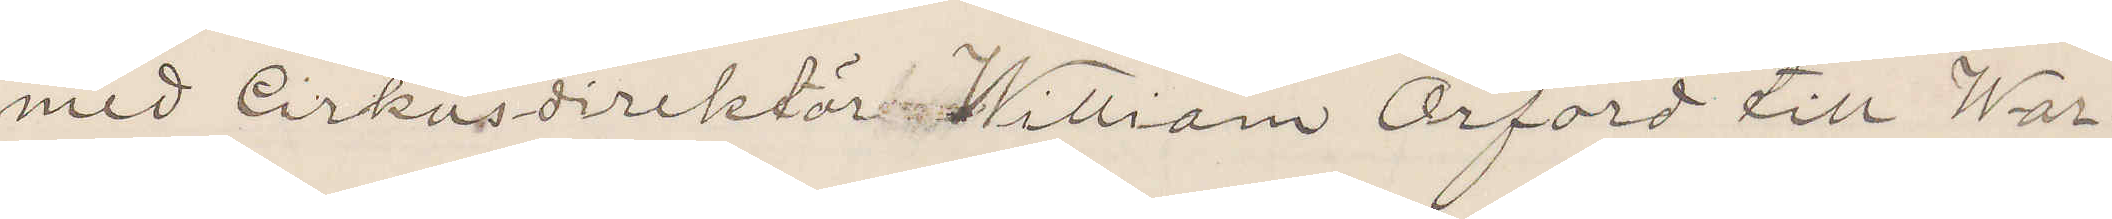med Cirkusdirektör William Orford till War¬
